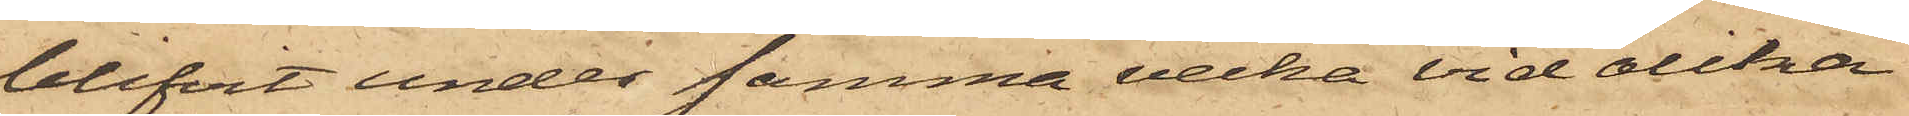blifvit under samma vecka vid olika
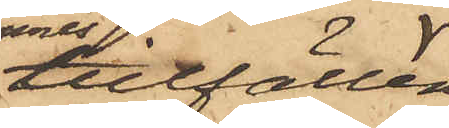tillfällen
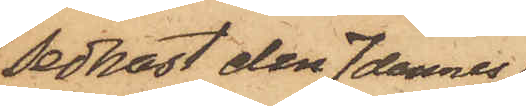sednast den 7 dennes
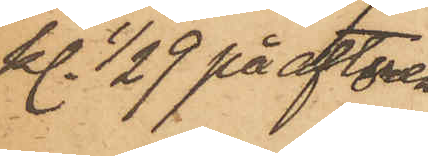kl 1/2 9 på aftonen
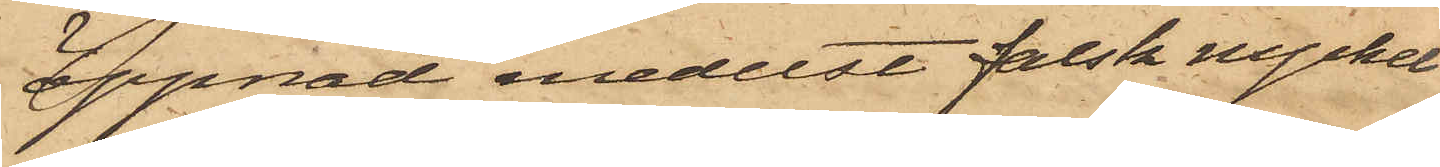öppnad medelst falsk nyckel
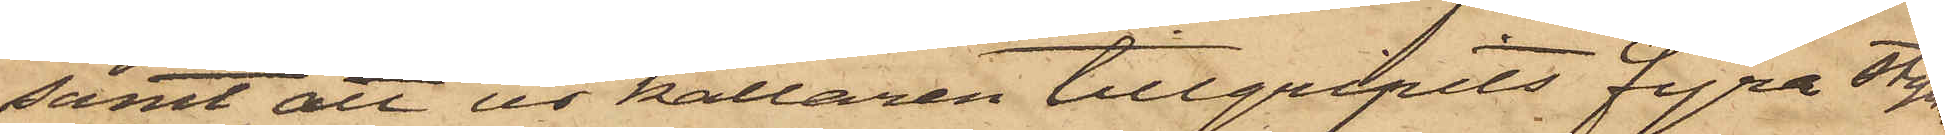samt att ur källaren tillgripits fyra stycken
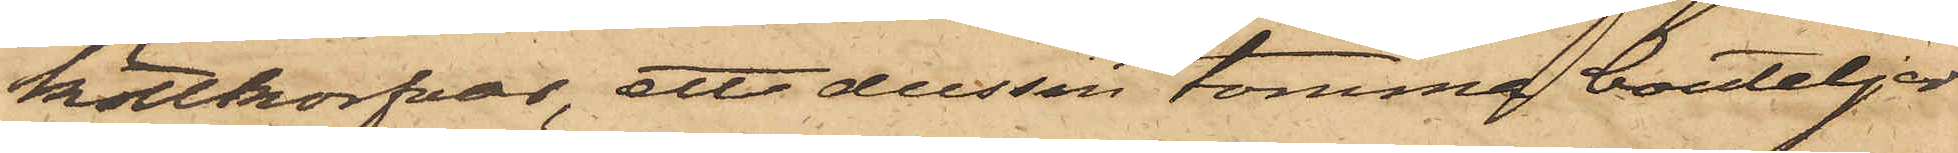köttkorfvar, ett dussin tomma bouteljer
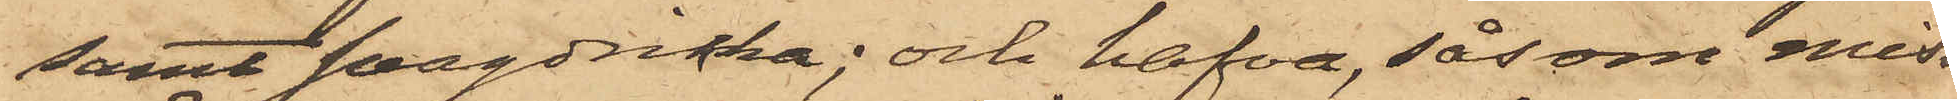samt svagdricka; och hafva, såsom miss¬
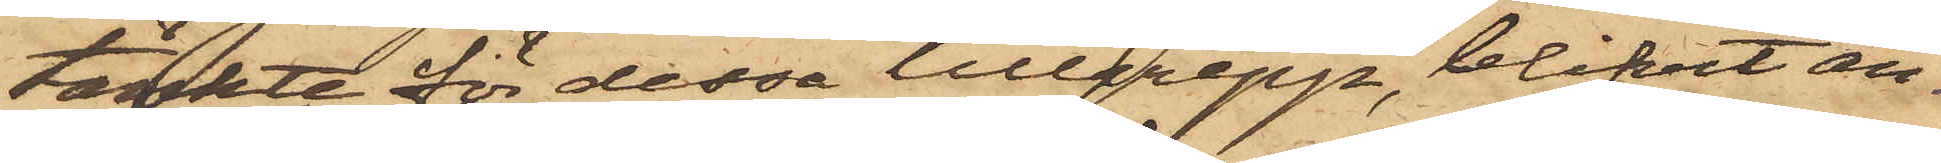tänkte för dessa tillgrepp, blifvit an¬
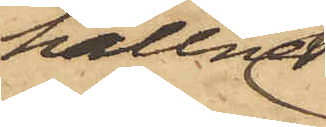hållne
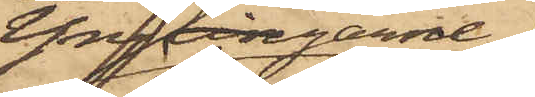Ynglingarne
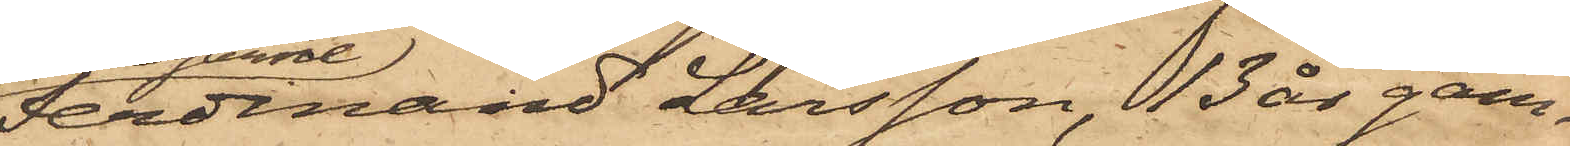Ferdinand Larsson, 13 år gam¬
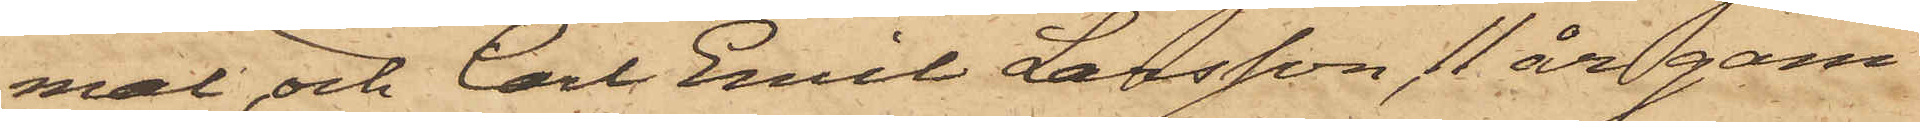mal, och Carl Emil Larsson, 11 år gam¬
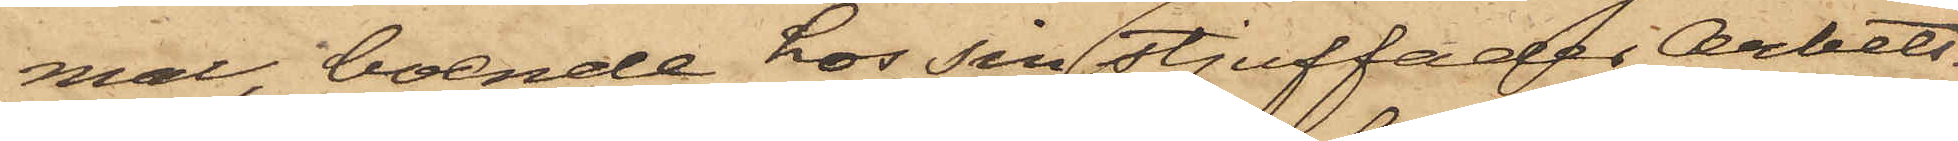mal, boende hos sin stjuffader Arbets¬
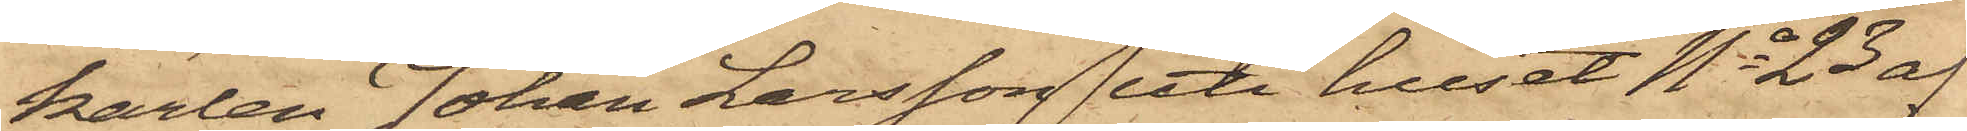karlen Johan Larsson uti huset No 23 af
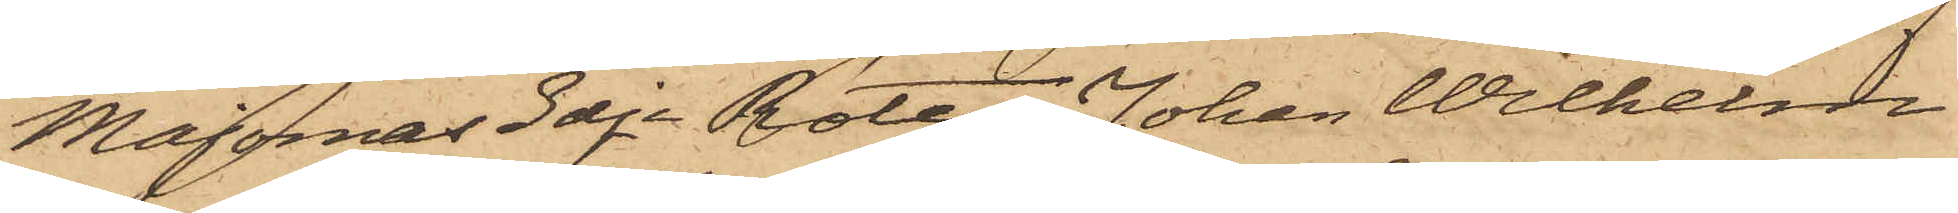Majornas 3dje Rote, Johan Wilhelm
